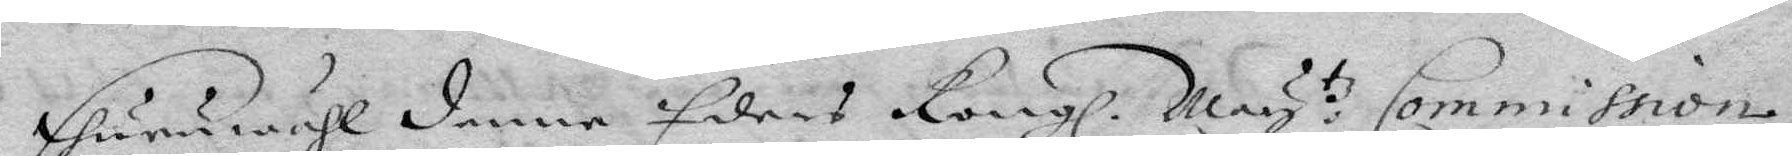Ehuruwähl denne Eders Kongl. May.tz Commission,
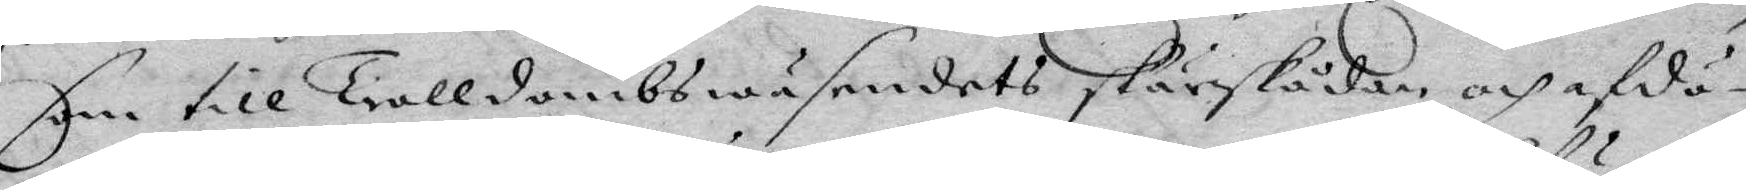som till Trolldombswäsendet skärskådar, och afdö¬
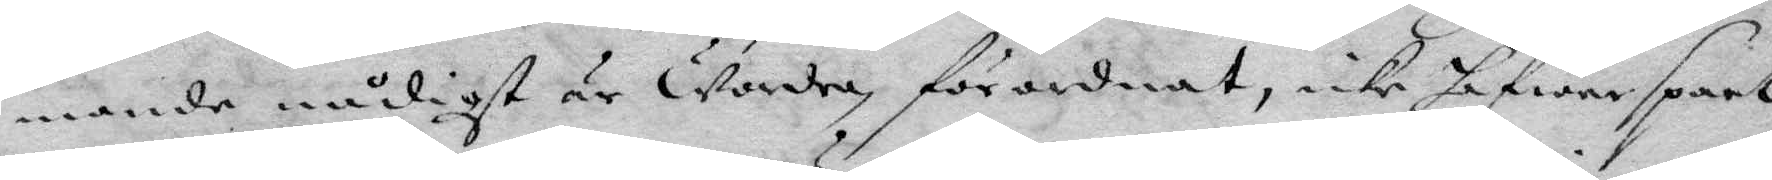mande nådigst är Warda förordnat, icke hafwer spart
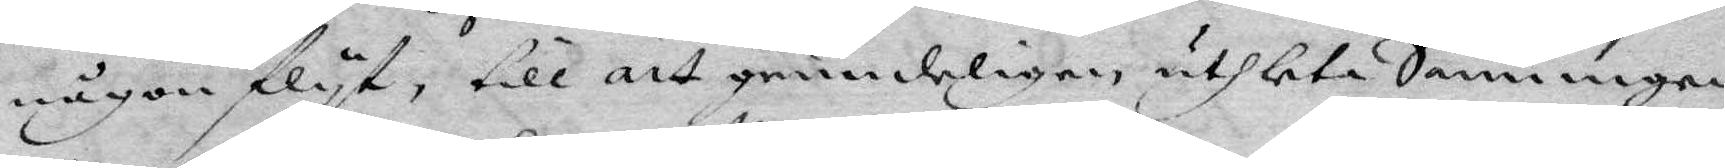någon flyt, till att grundeligen, uthleta Sanningen,
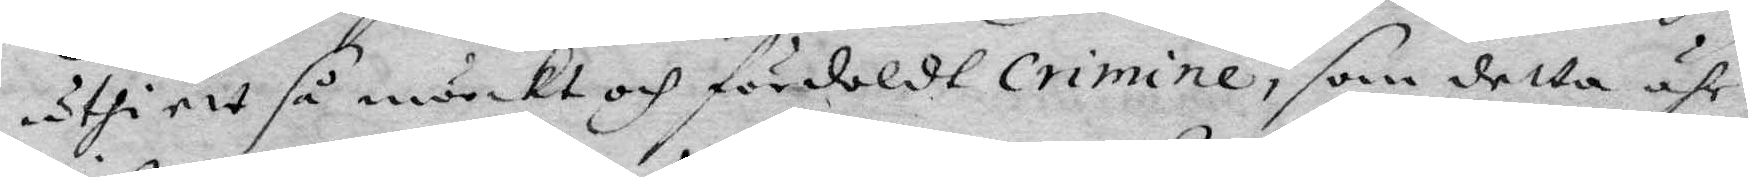uthi ett så mörkt och fördoldt Crimine, som detta ähr;
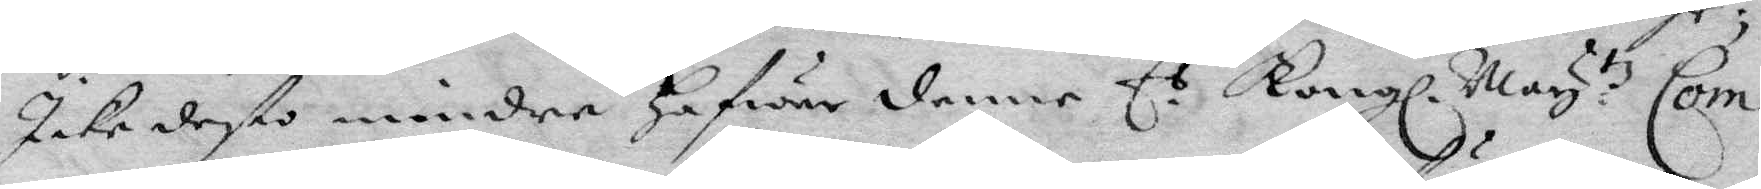Icke desto mindre hafwer denne E.s Kongl. May.tz Com¬
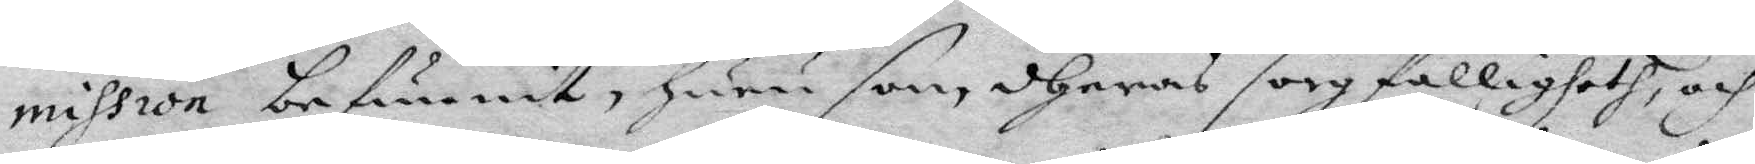mission befunnit, huru som dheras sorgfälligheth, och
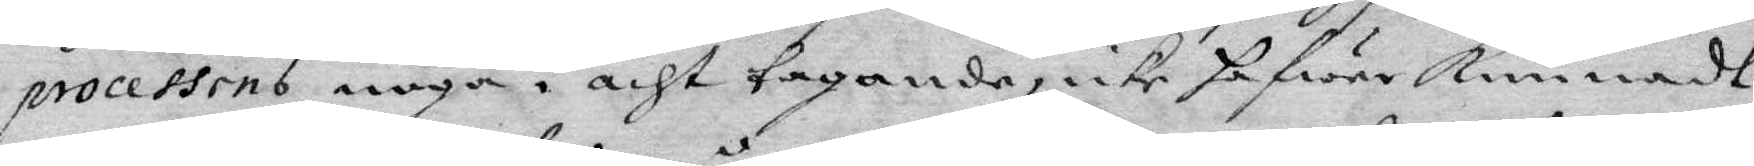processens noga i acht tagande, ixke hafwer kunnadt
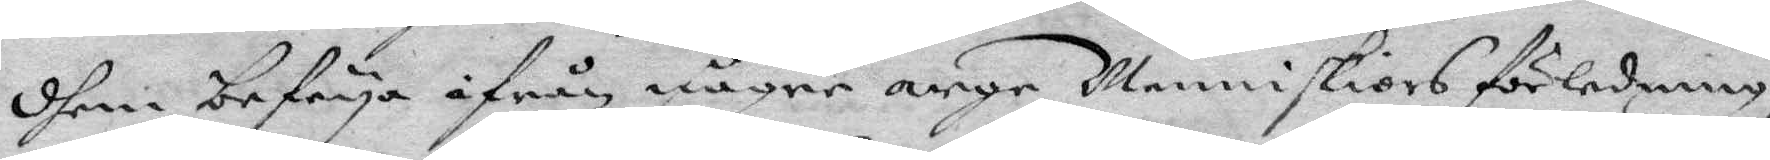dhem befrya ifrån någre arge Menniskiors förledning,
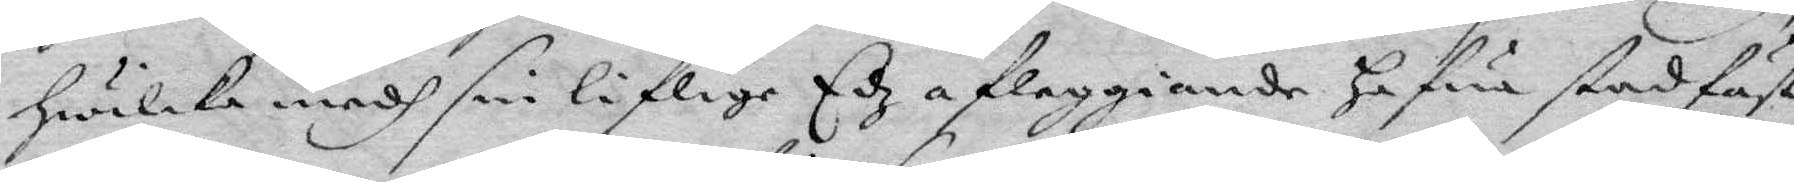hwilka medh sin liflige Edz afleggiande hafwa stadfäst
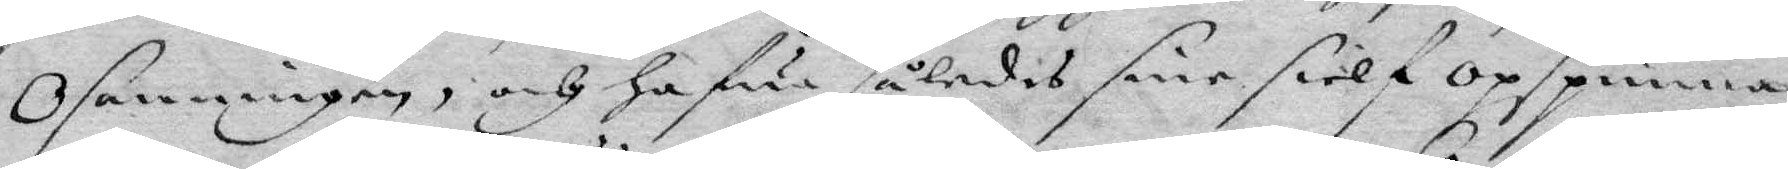Osanningen, och hafwa såledis sine sielf opspunna
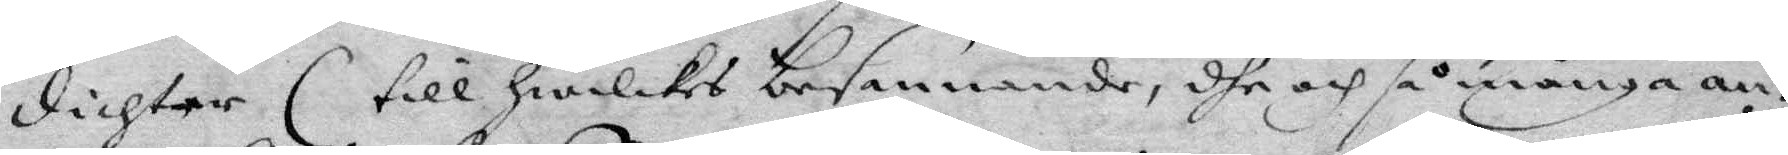dichter (till hwilket besannande, dhe och så många an¬
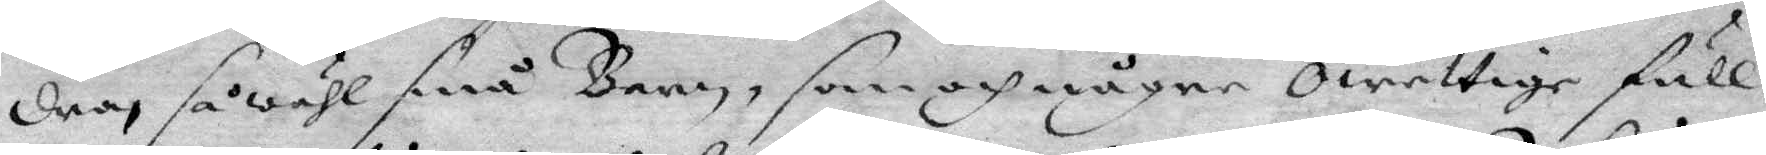dras såwähl små Barn, som ocj någre Owettige full¬
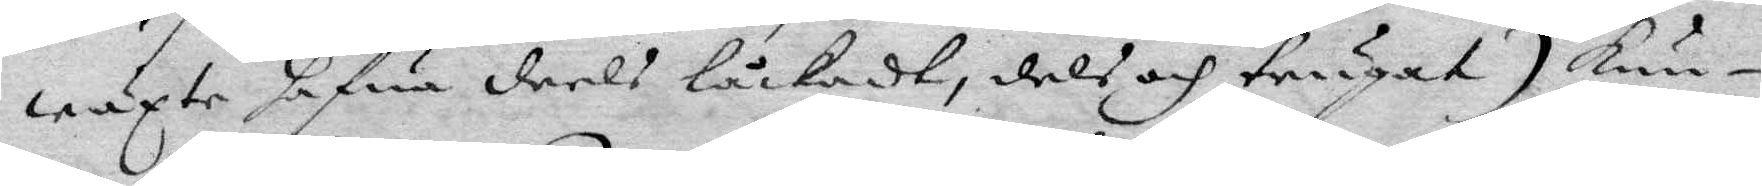wäxte hafua deels låckadt, dels och trugat) kun¬
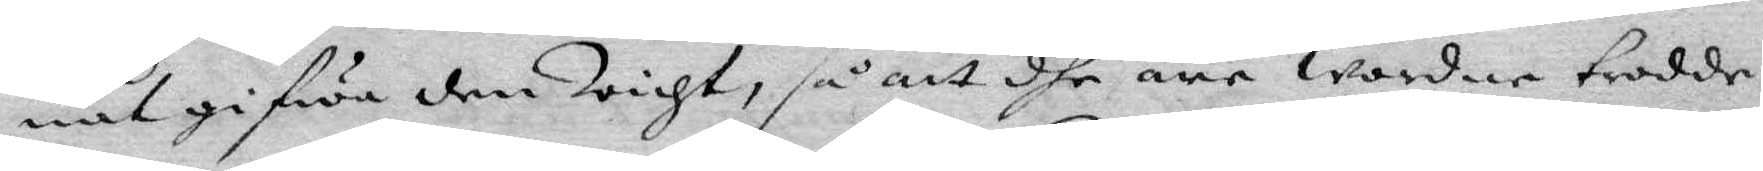nat gifwa dem Wight, så att dhe äre warne trodde.
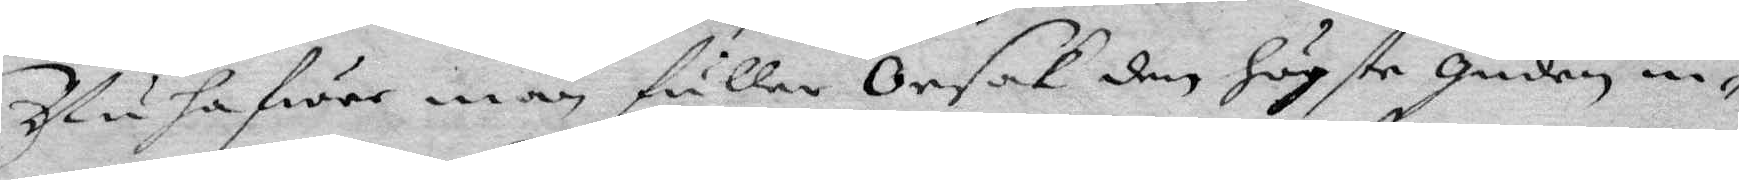Nu hafwet man fuller Orsak den högste guden in¬
